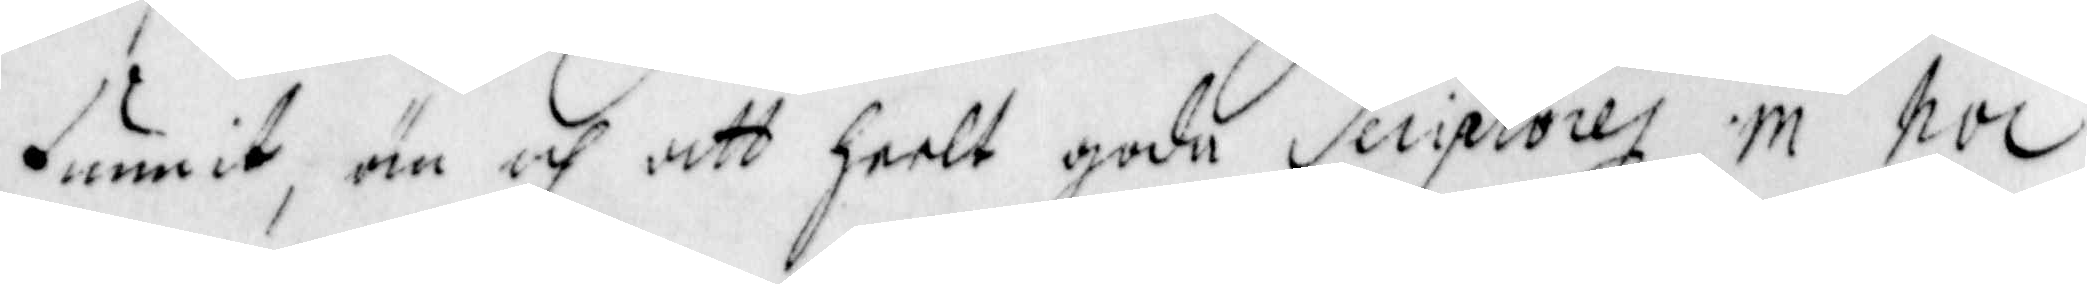funnit, än och att heelt gode Seciptorey in hoc
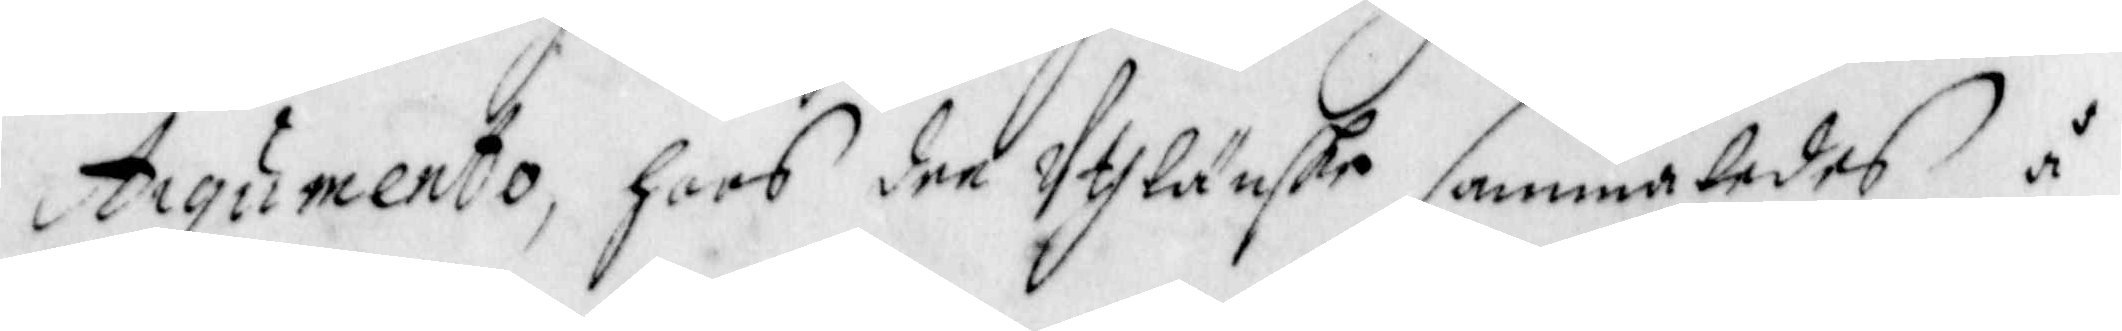Aigumento, hoos dee Uthlänske sammatedes å
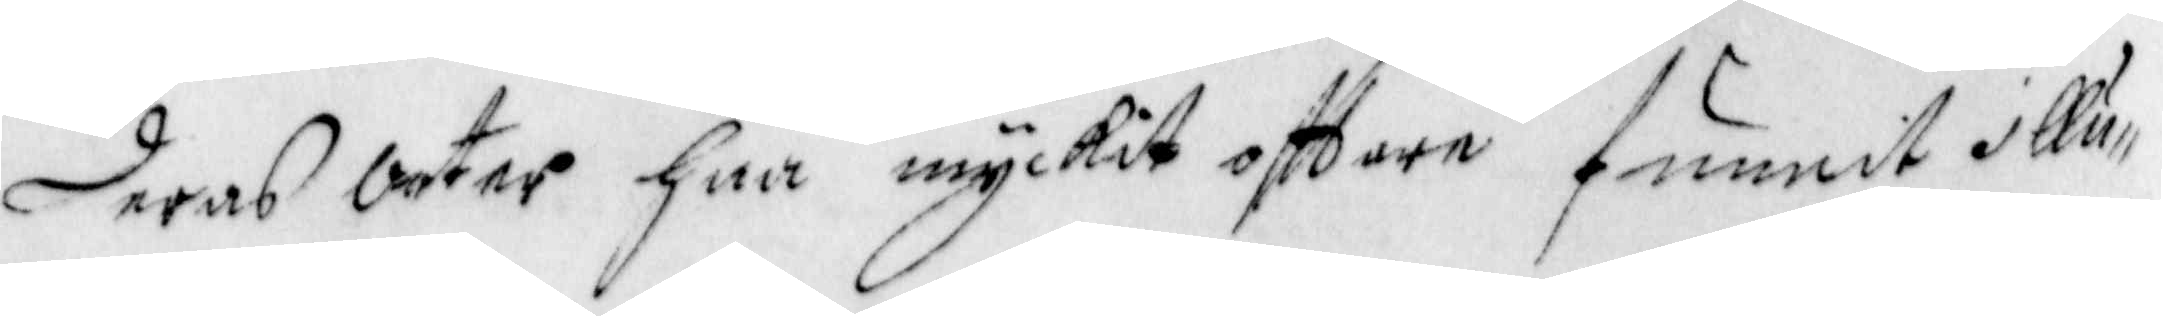deras Orter har myckit ofttare funnit illu¬
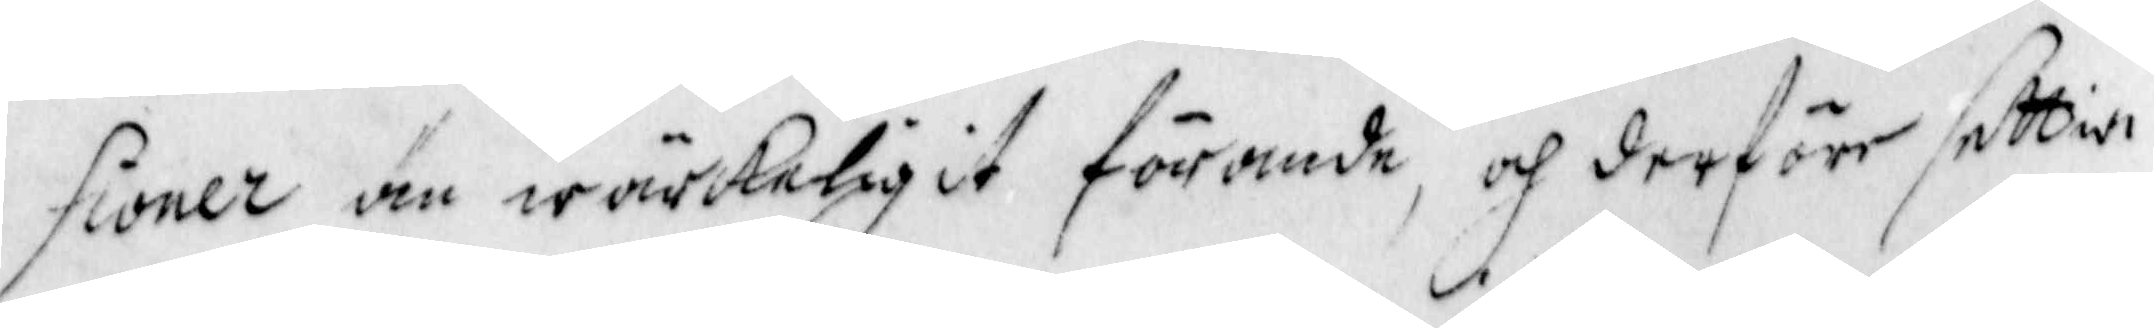sioner än wärkeligit förande, och derföre dettia
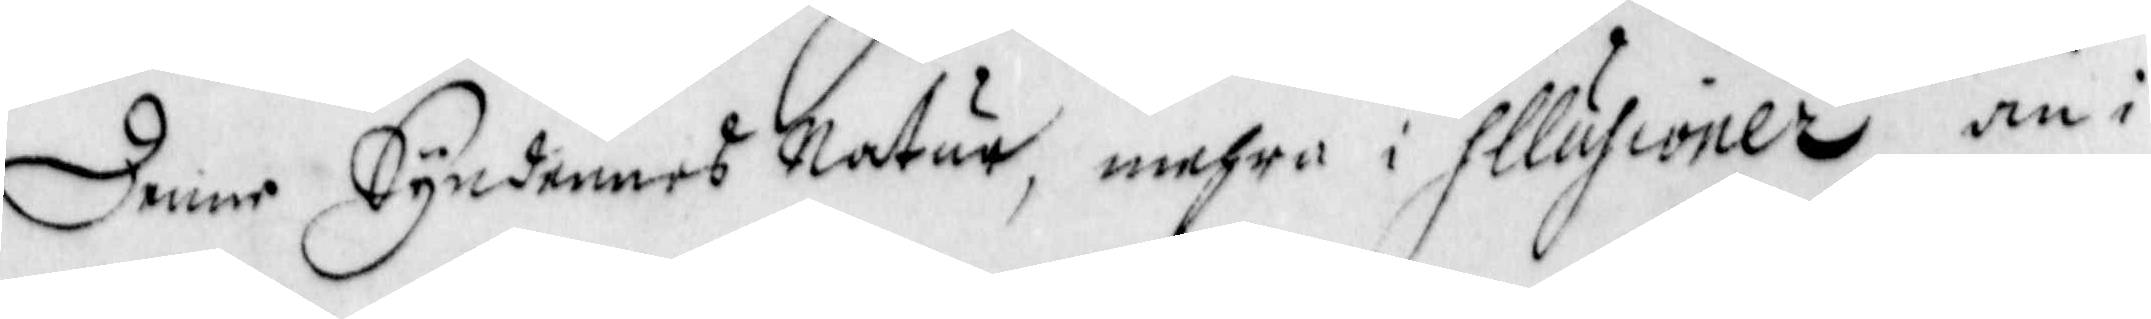denne Synderne Natur, mehra i illusioner än i
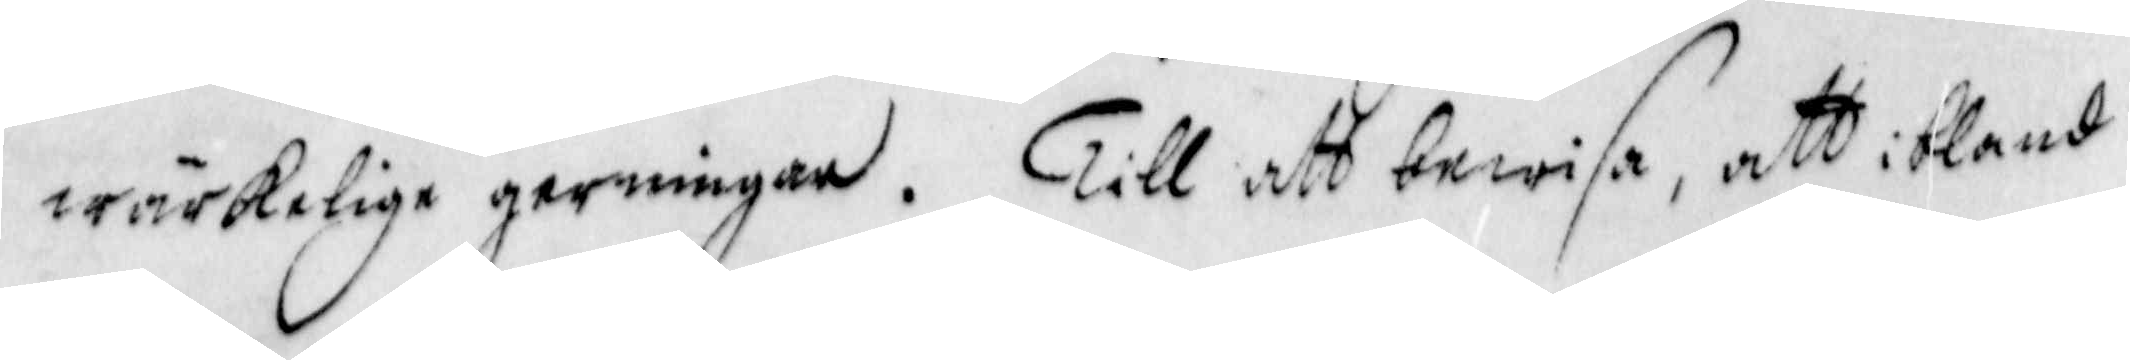wärkelige gerningar. Till att bewisa, att ibland
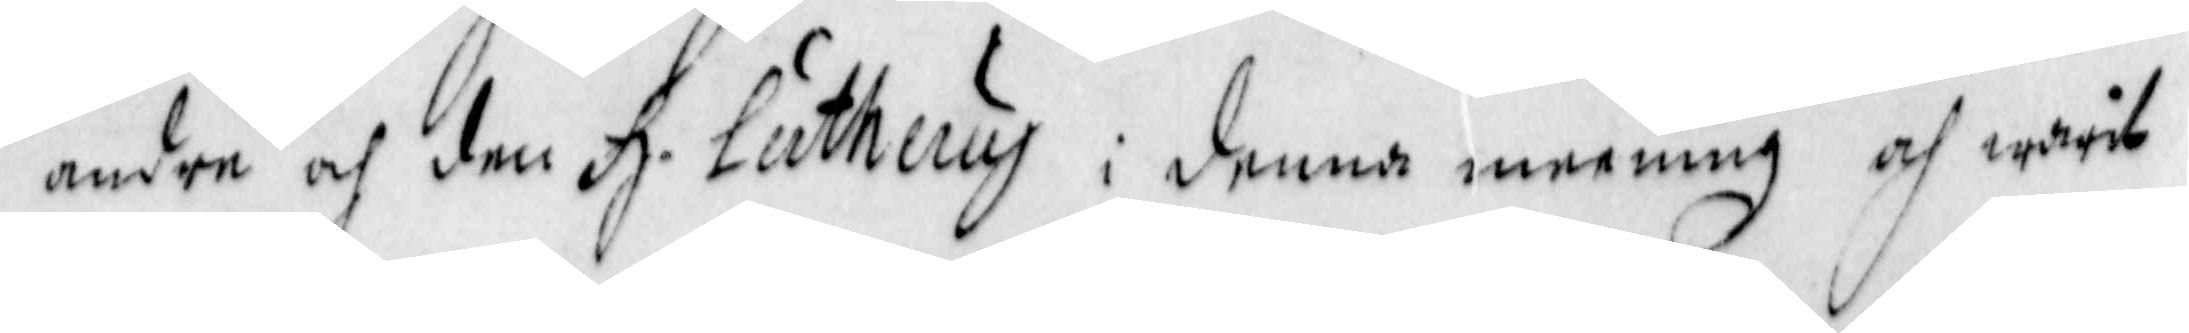andra och den H. Lutjery i denna mening och warit
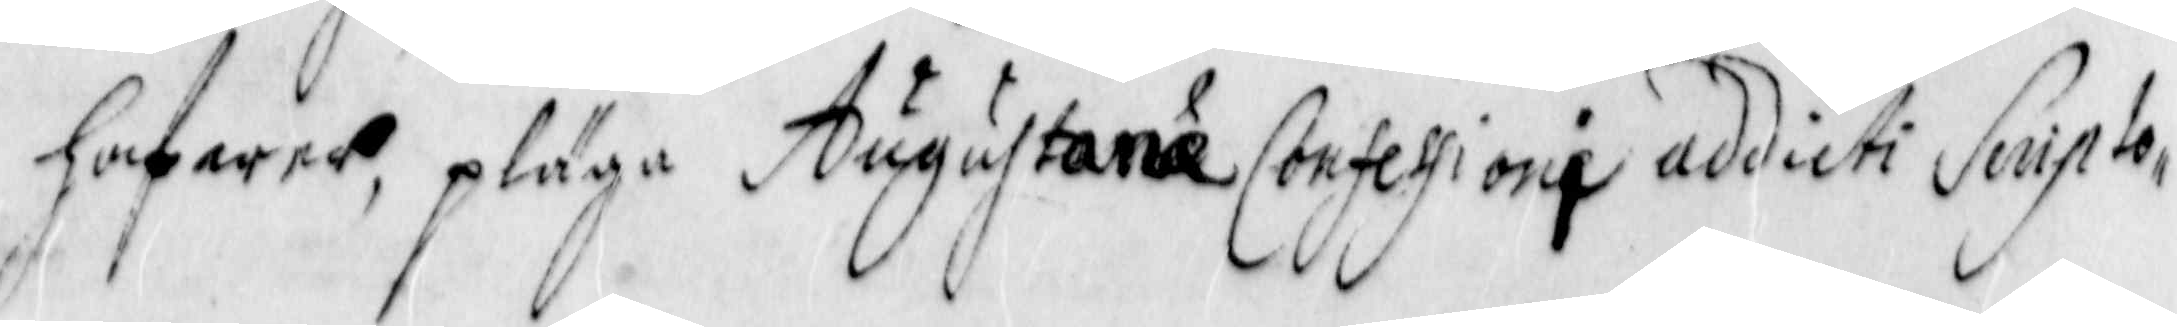hafwer, pläga Augustane Consestori addicti Senipto,
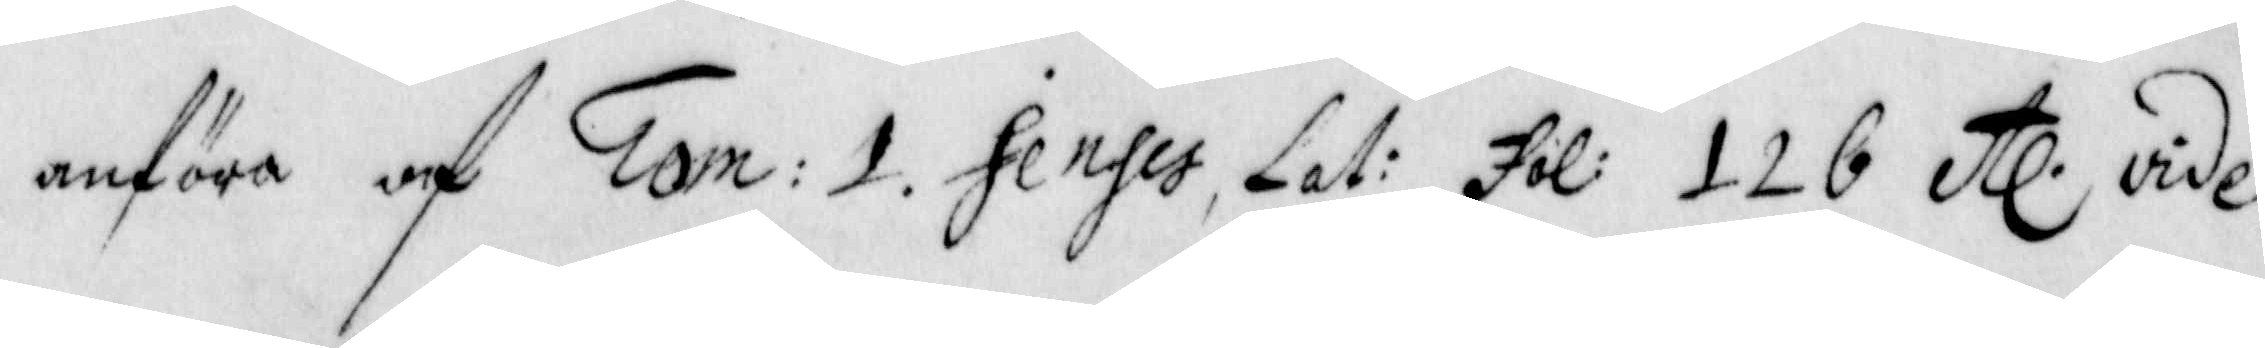anföra och Tom: 1. Sendes, Lat: fol: 126 etc vide
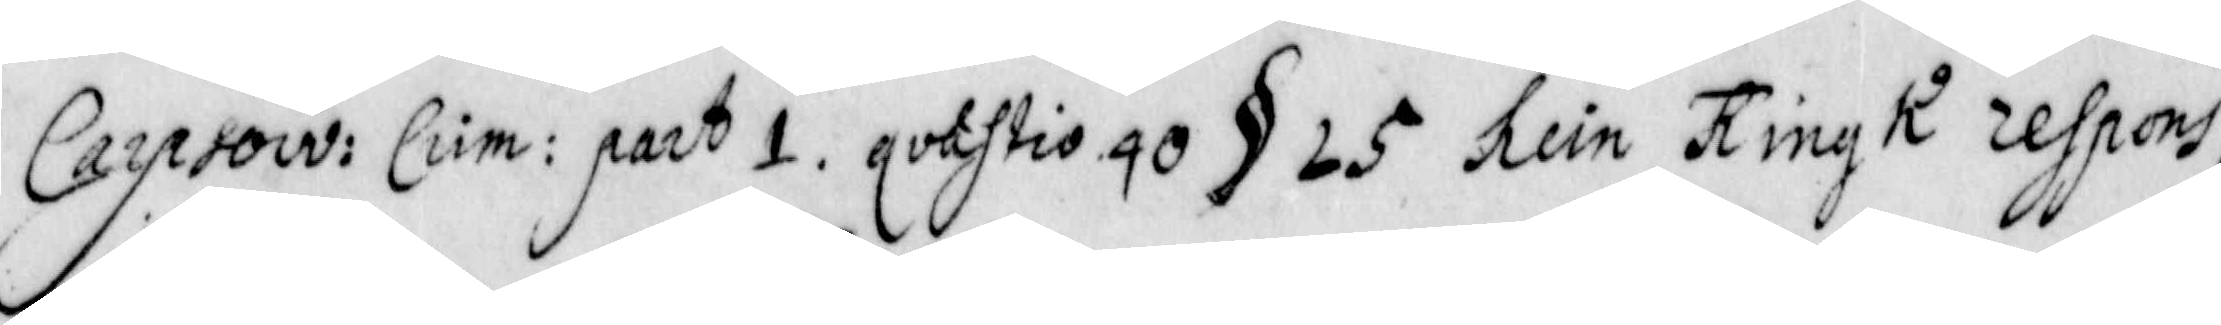Carpsow: Crim: part 1 qvastio 40 § 25 hein Ring K respons
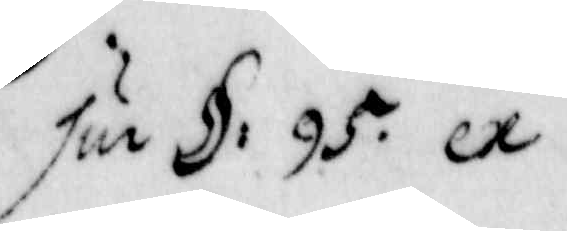sur §: 95. ex 
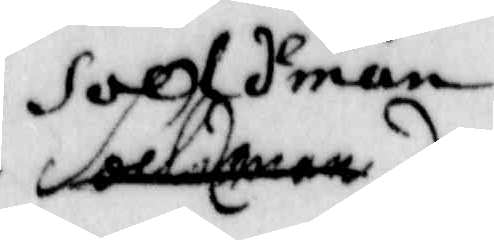solh Iman
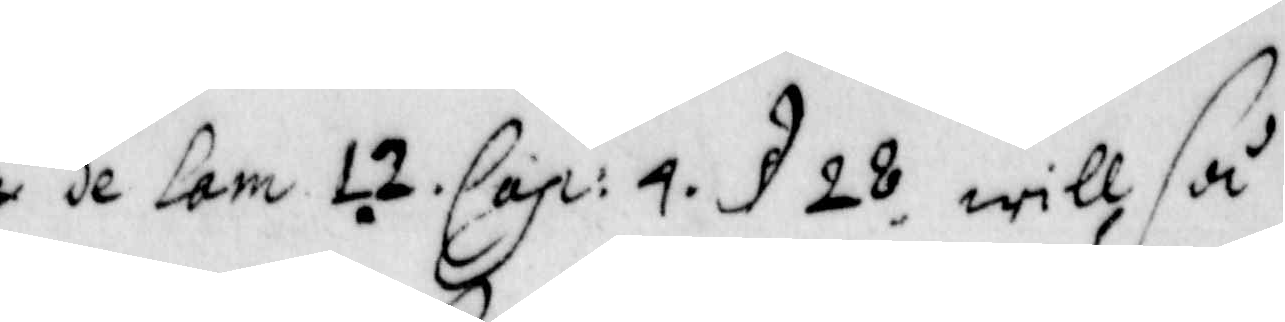de lam 12 Cap: 4 § 28 will så
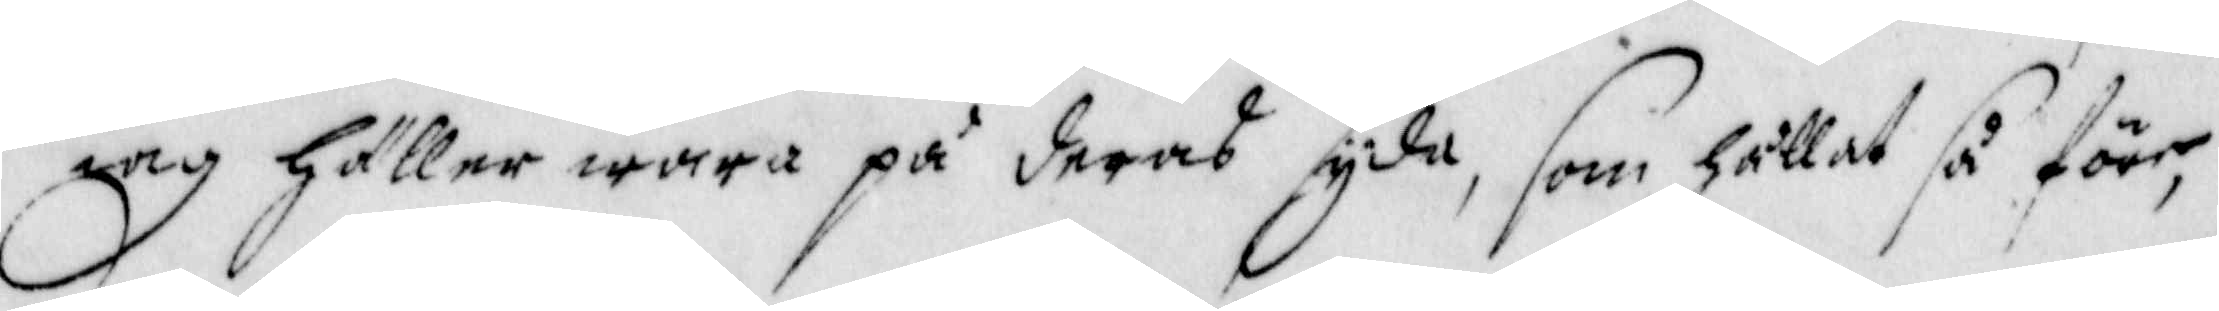iag häller wara på deras syda, som hållat så före,
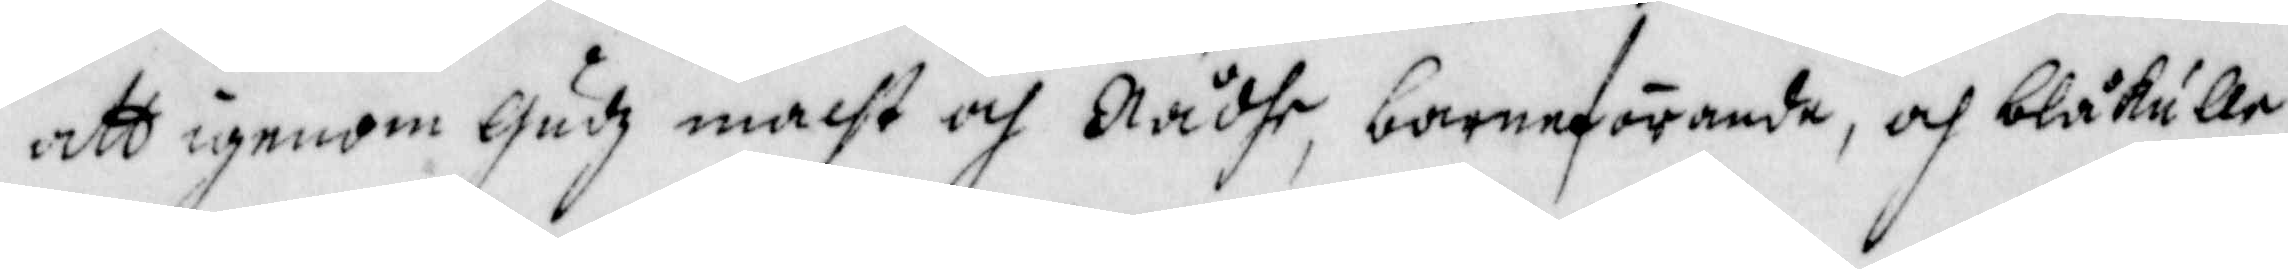att igenom Gudz macht och Rådhe, barneförande, och blåkulla¬
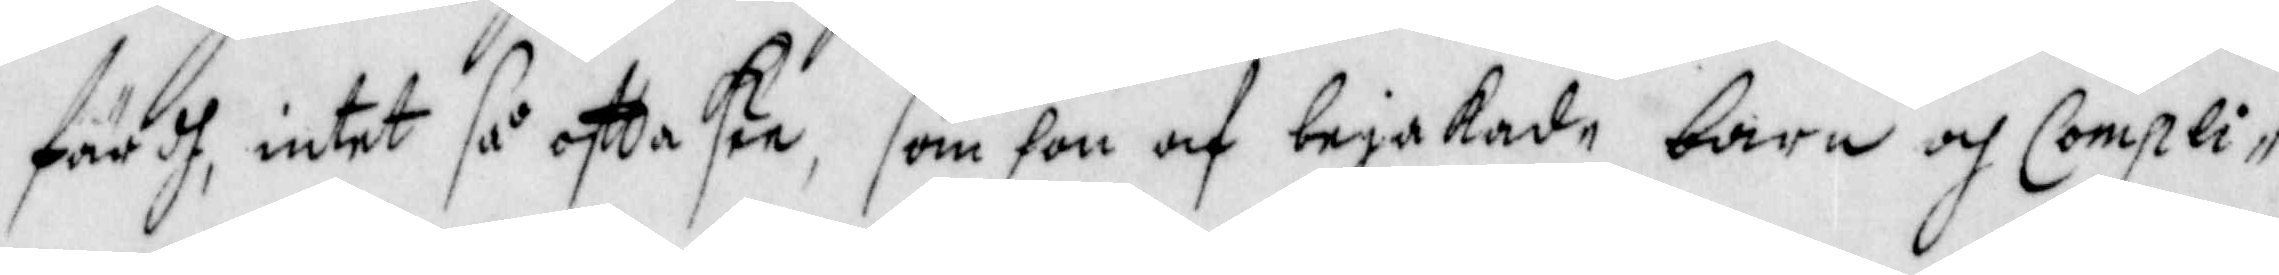färdh, intet så ofta skee, som hon af bejakade barn och Compli¬
